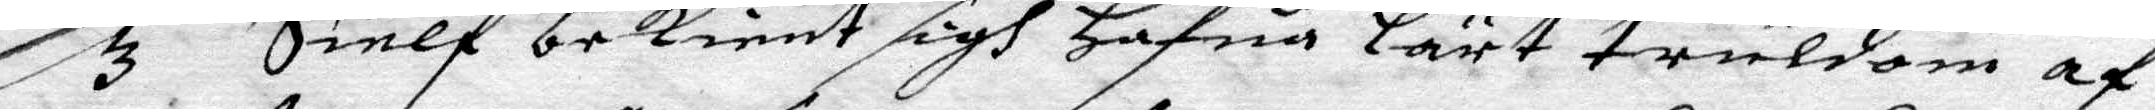3 Sielf bekient sigh Hafua Lärt truldom af
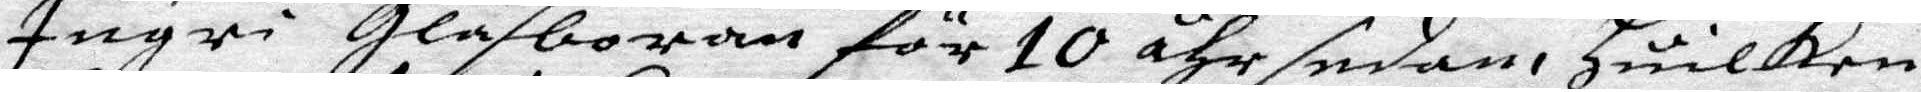Ingri glasboran för 10 åhr sedan, Huilken
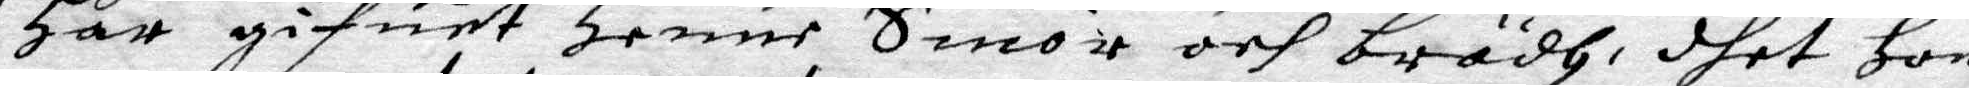Har gifuet Henne Smör och brödh, dhet Hon
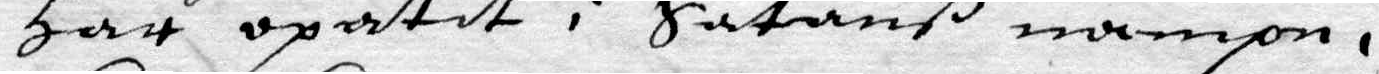Har opätit i Satanß nampn.
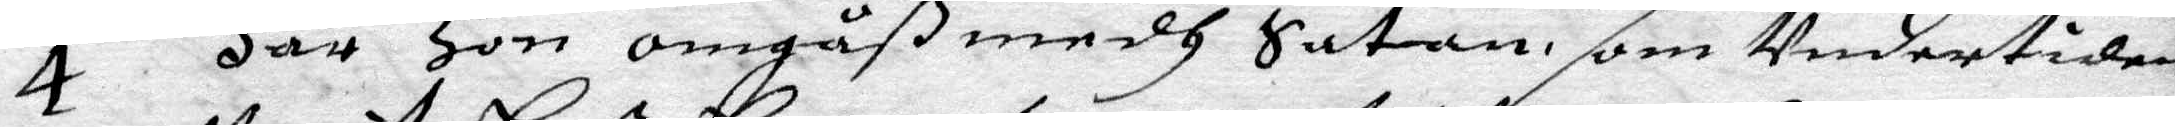4 Har Hon omgåß medh Satan, som Undertiden
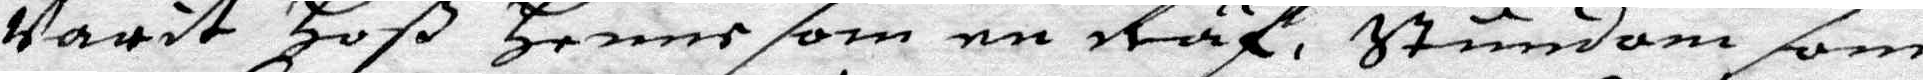Varit Hoß Henne som en Räf, Stundom som
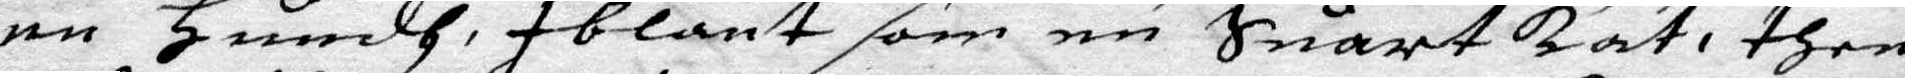en Hundh, iblant som en Suart kat, then
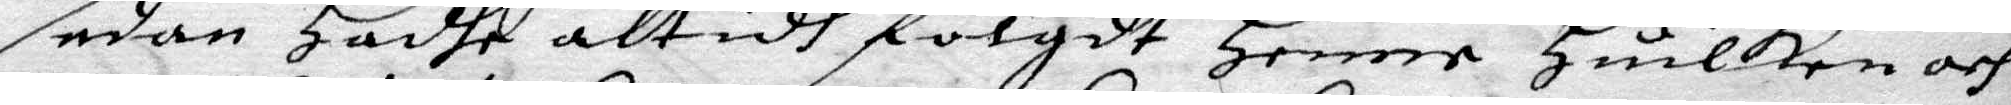sedan hadhe altidh folgdt Henne Huilken och
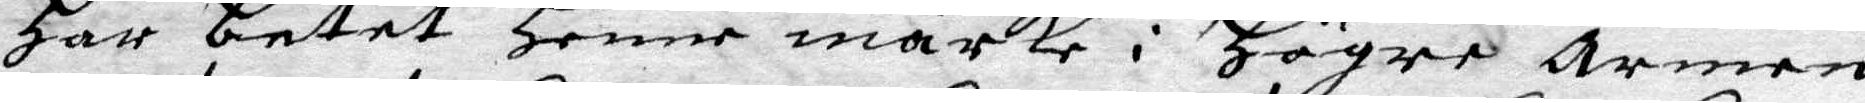Har betet Henne märke i Högre Armen
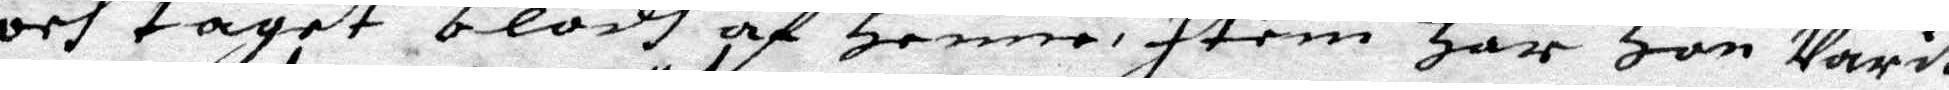och taget blodh af Henne Item Har Hon Varit
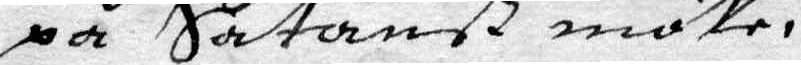på Satanß möte.
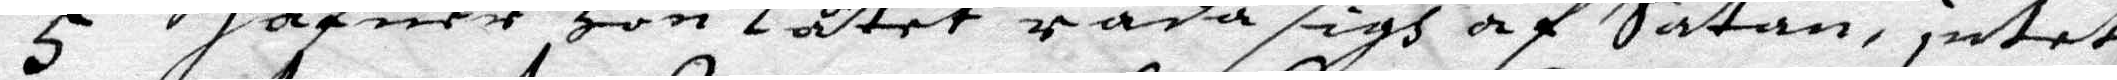5 Hafuer Hon Låtet råda sigh af Satan, intet
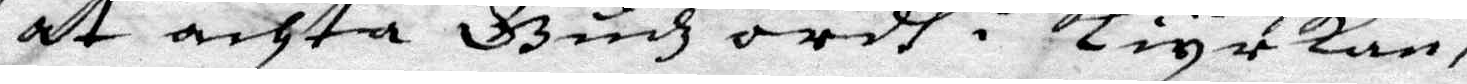at achta Gudhz ordh i kiyrkan,
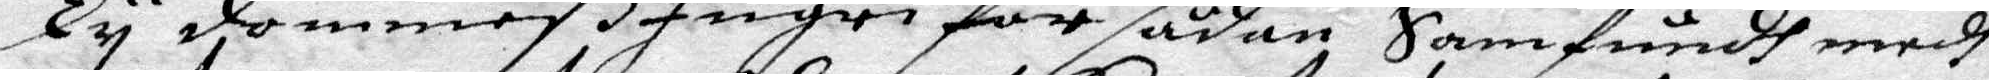Ty dömmeß Ingri for sådan Samfundh medh
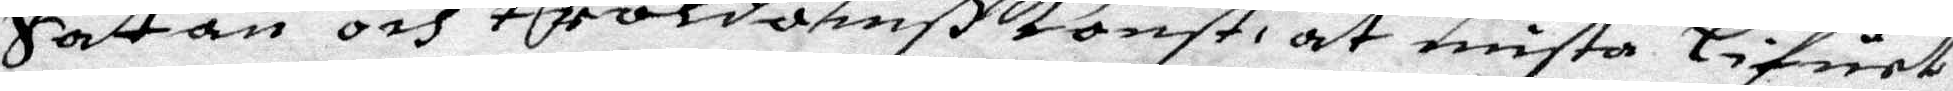Satan och troldomßkonst, at mista Lifuet
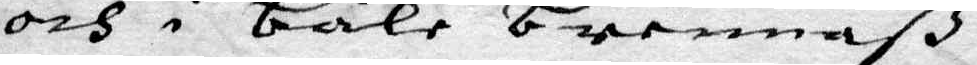och i båle brennaß.
